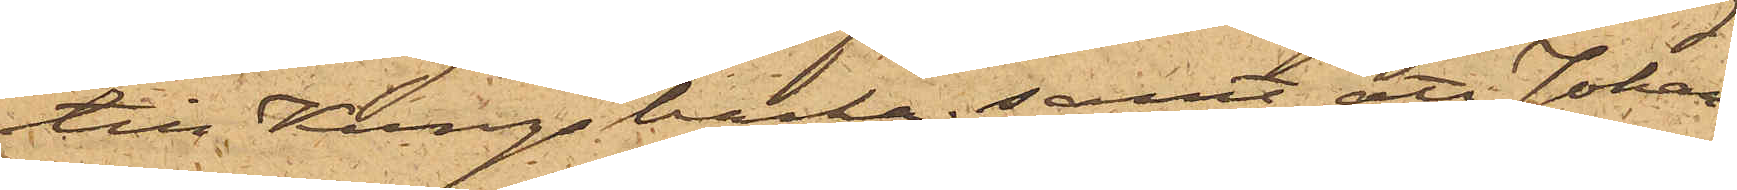till Kungsbacka; samt att Johan¬
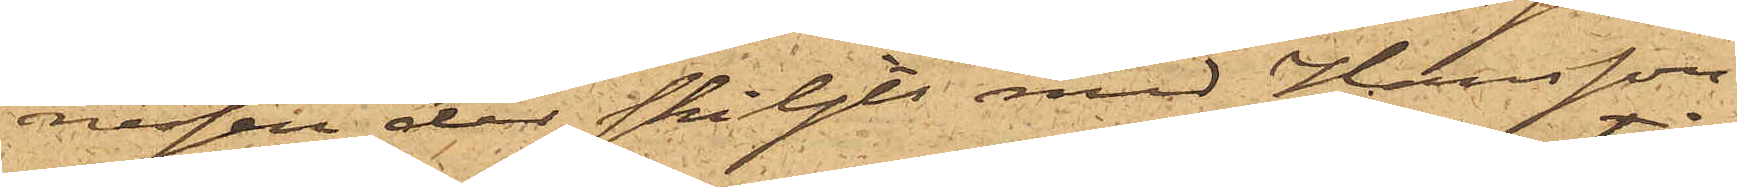nessen der skiljts med Hansson
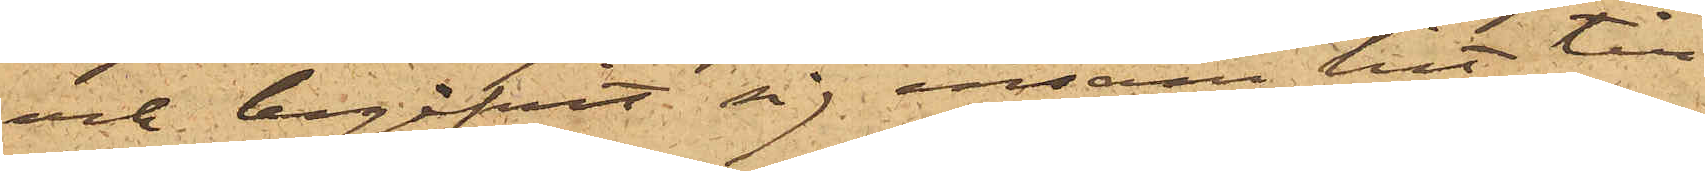och begifvit sig ensam hit till
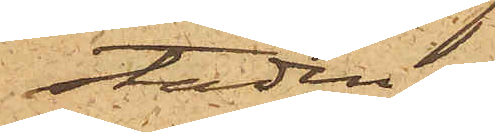staden.
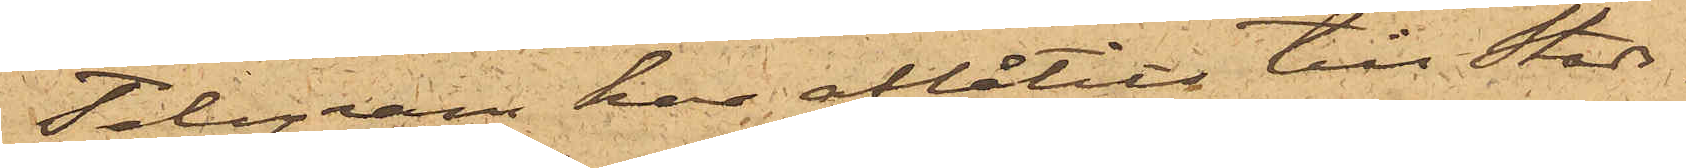Telegram har aflåtits till Stads¬
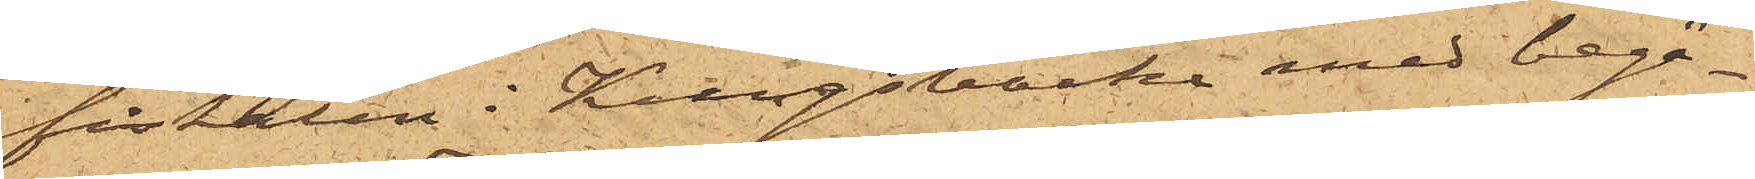fiskalen i Kungsbacka med begä¬
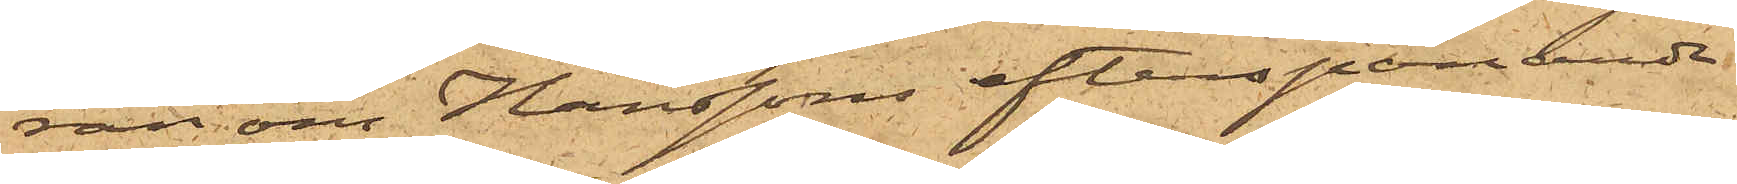ran om Hanssons efterspanande
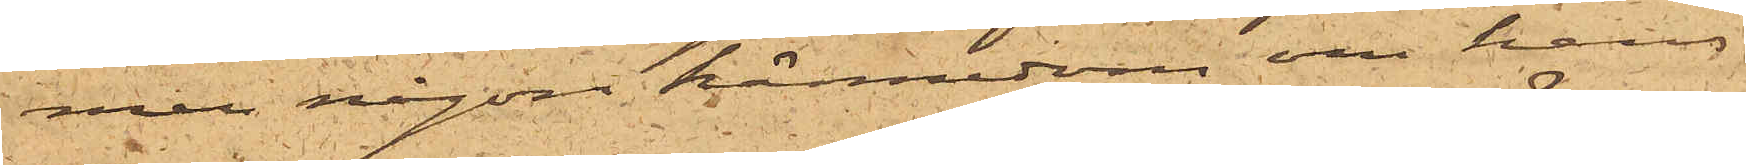men någon kännedom om hans
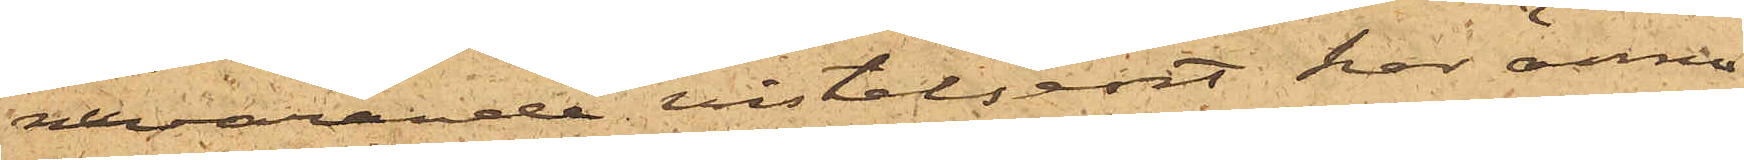nuvarande vistelseort har ännu
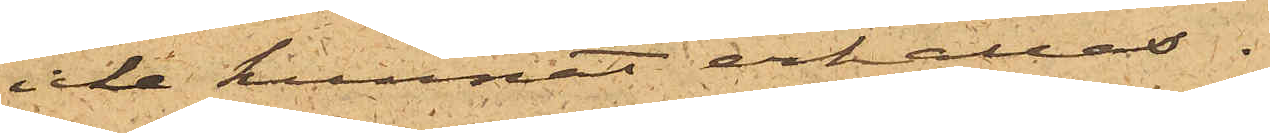icke kunnat erhållas.
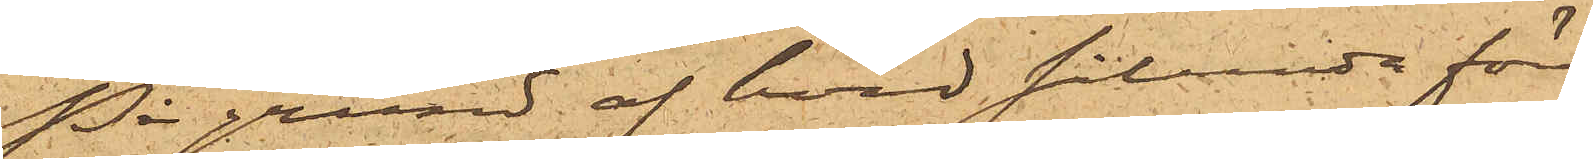På grund af hvad sålunda för¬
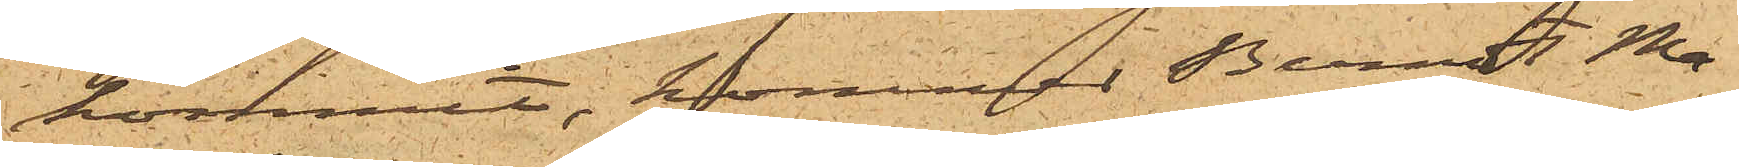kommit, kommer Berndt Ma¬
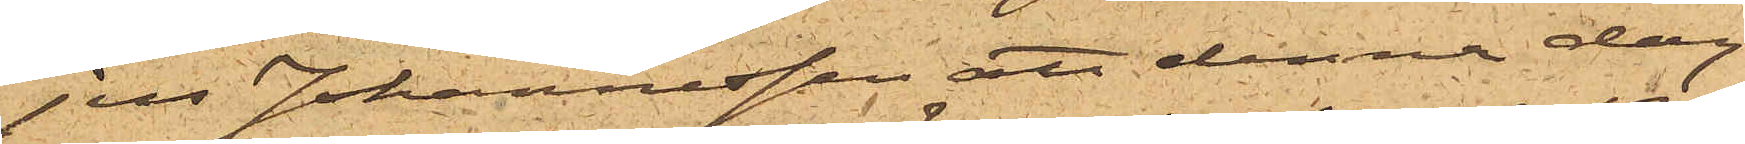jus Johannesson att denna dag
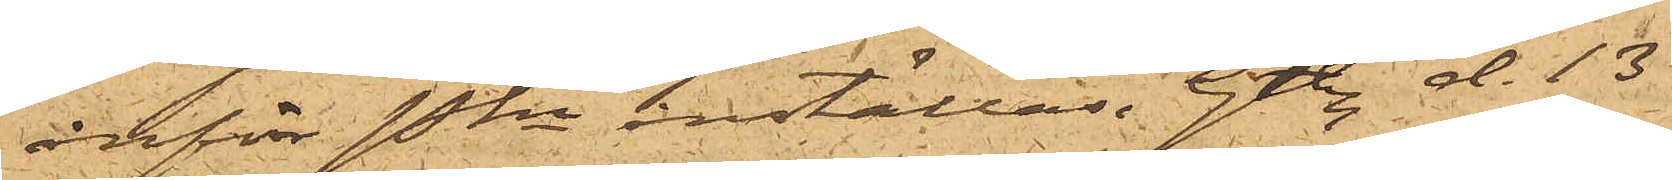inför Pkn inställas. Gtbg d. 13
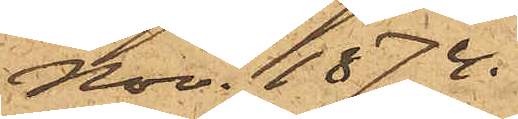Nov. 1874.
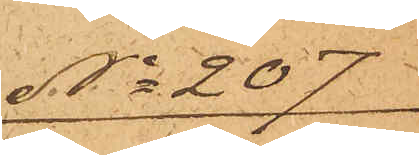No 207
